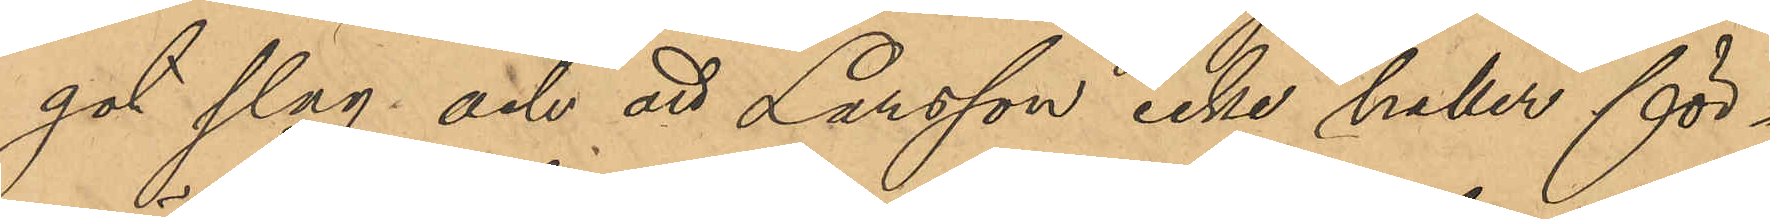got slag och att Larsson icke heller för¬
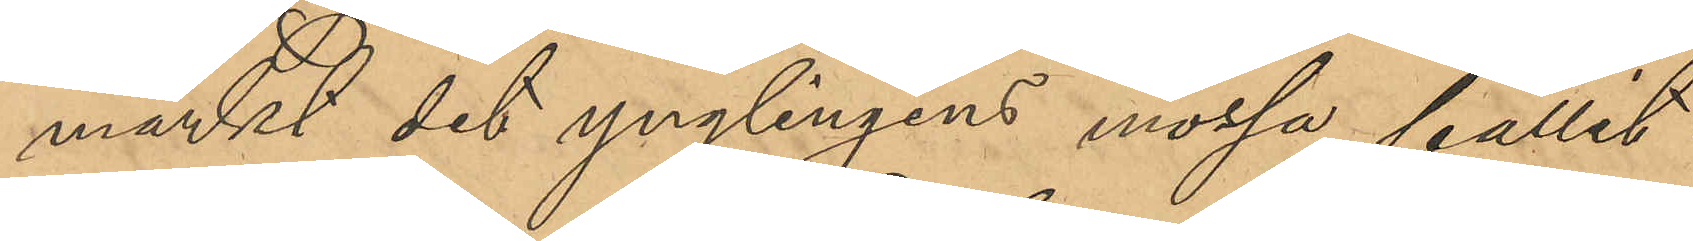märkt det ynglingens mössa fallit
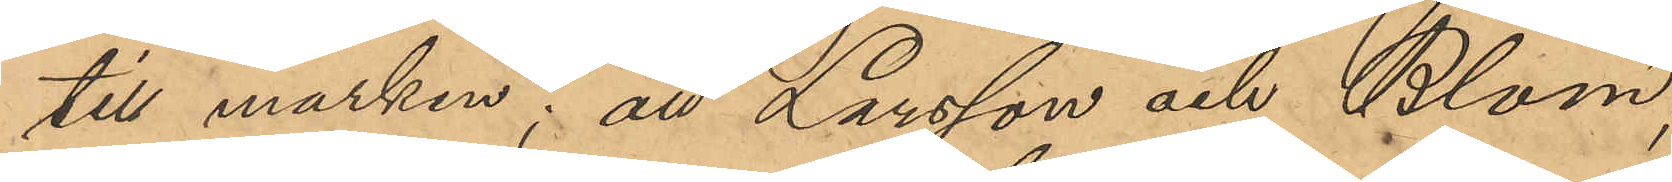till marken; att Larsson och Blom,
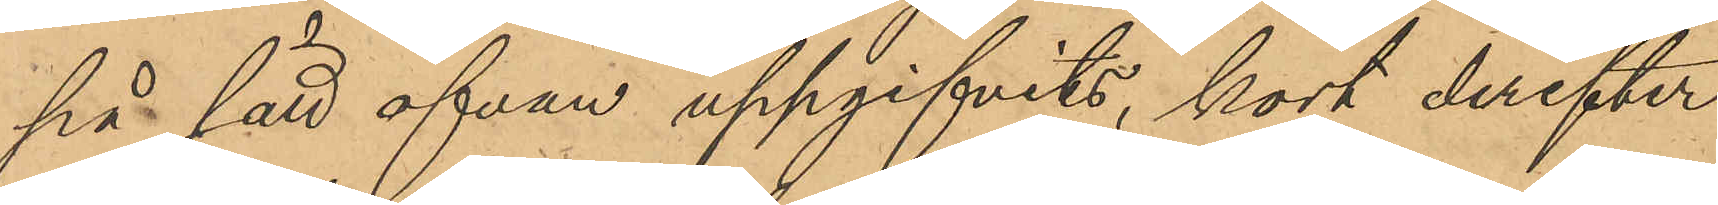på sätt ofvan uppgifvits kort derefter
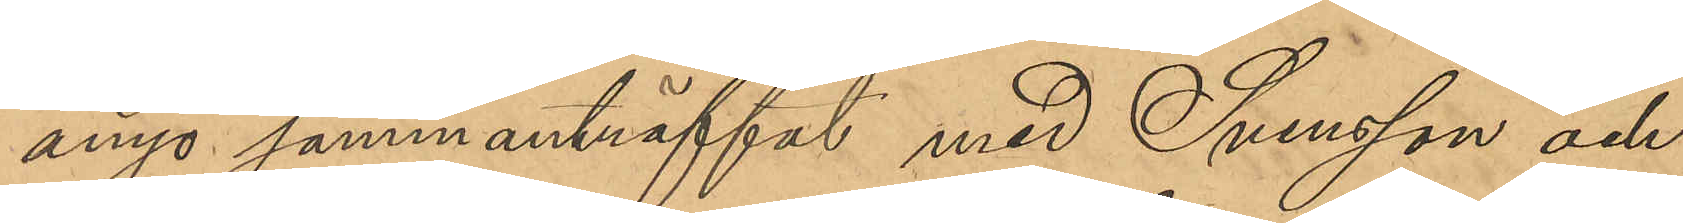ånyo sammanträffat med Svensson och
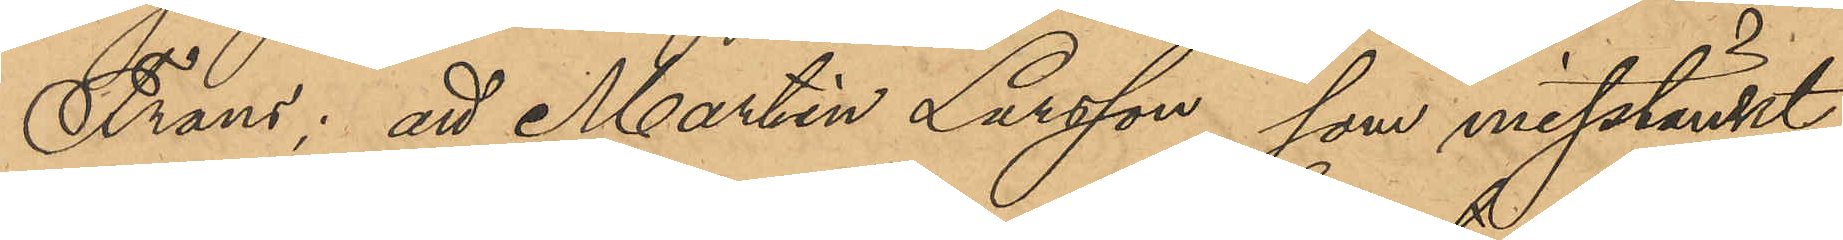Frans; att Martin Larsson, som misstänkt
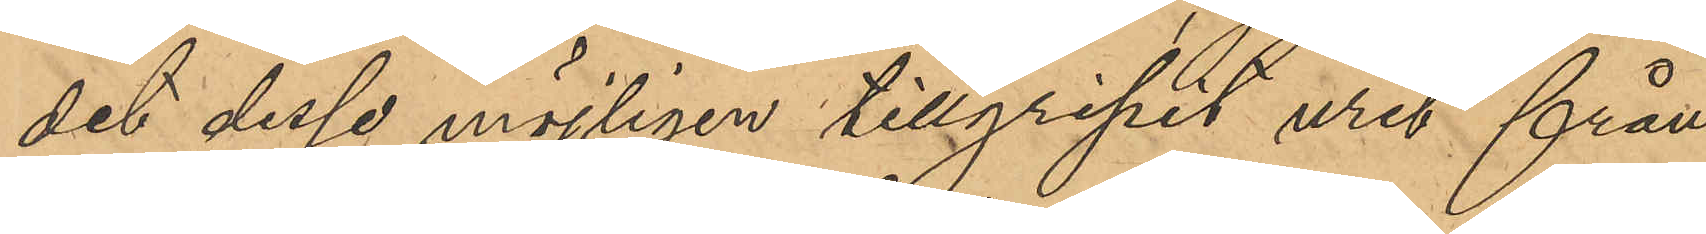det desse möjligen tillgripit uret från
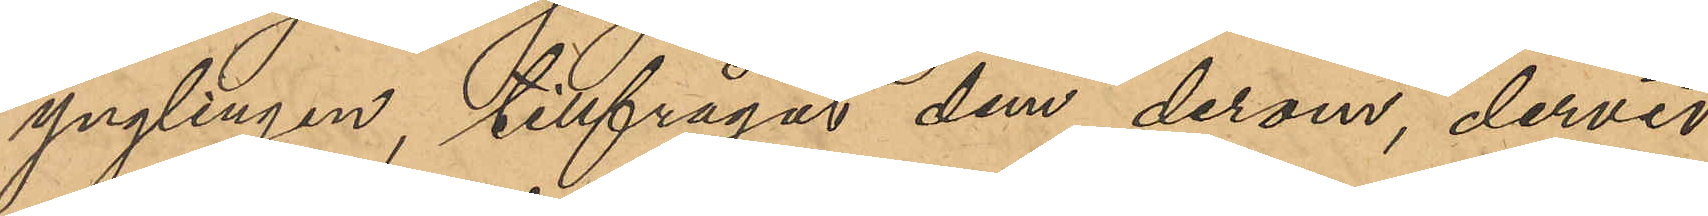ynglingen, tillfrågat dem derom, dervid
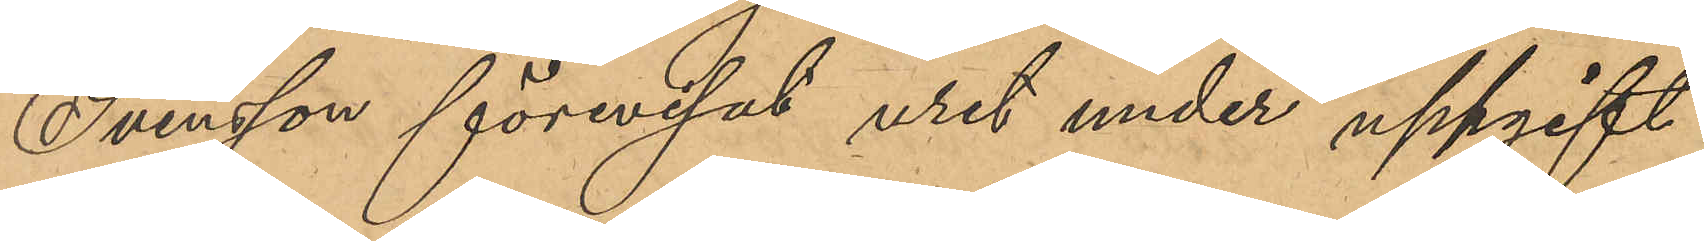Svensson förevisat uret under uppgift
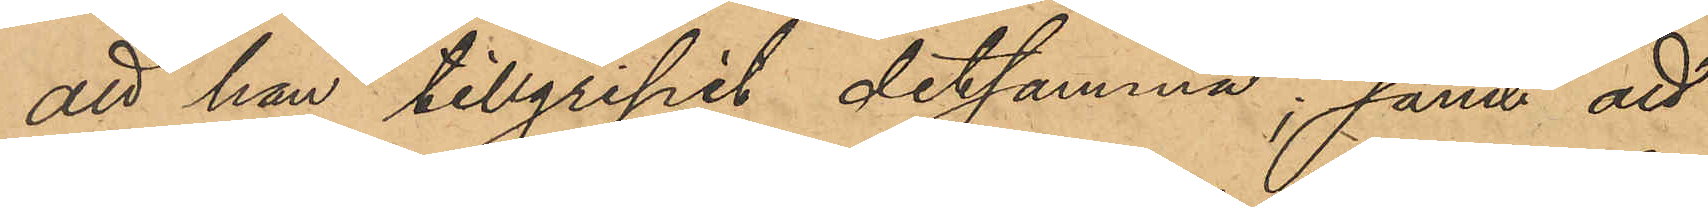att han tillgripit detsamma; samt att
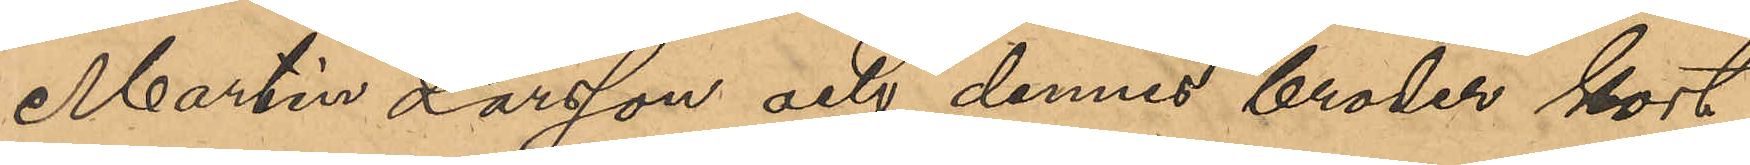Martin Larsson och dennes broder kort
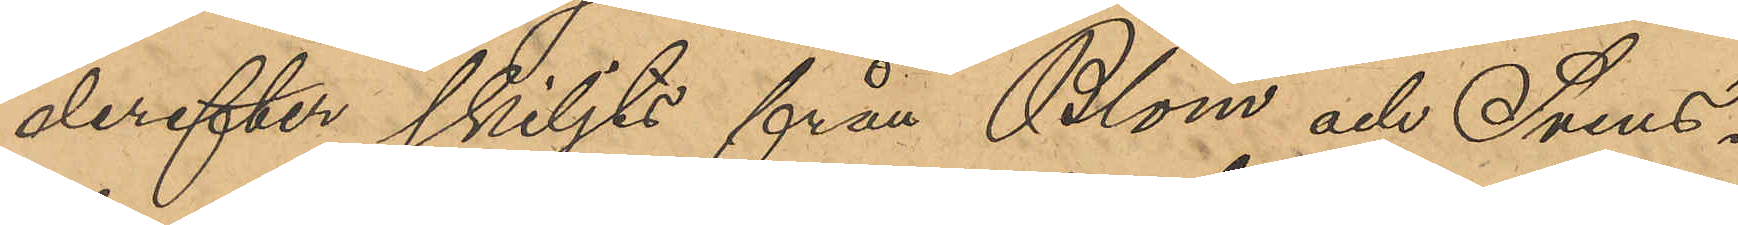derefter skiljts från Blom och Svens¬
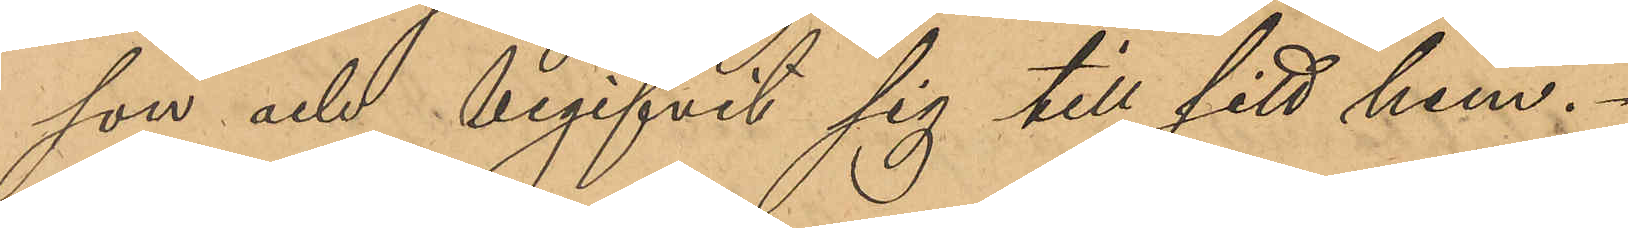son och begifvit sig till sitt hem.
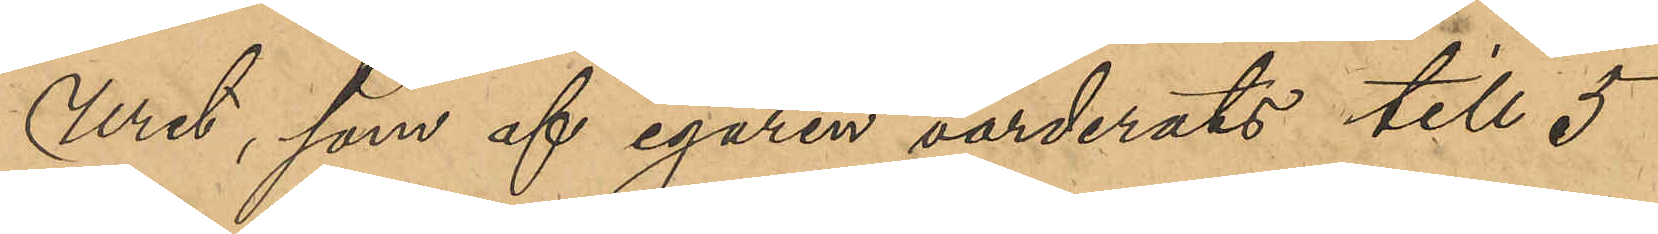Uret, som af egaren värderats till 5
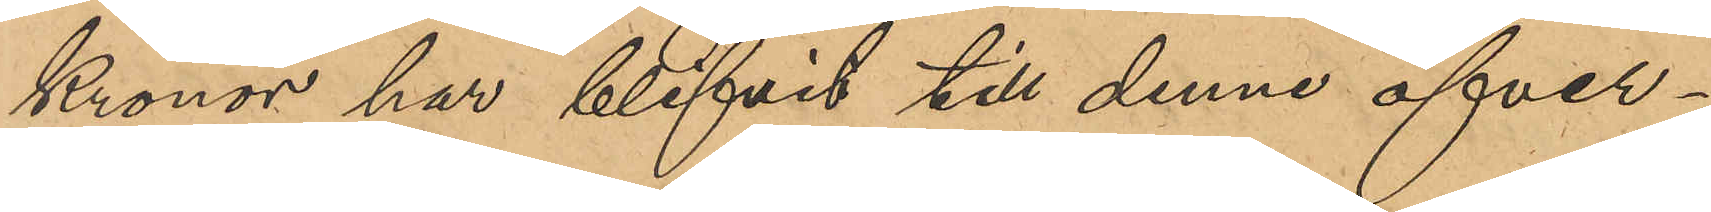Kronor har blifvit till denne öfver¬
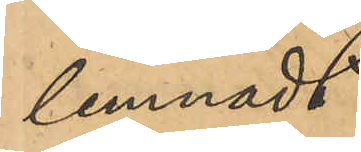lemnadt.
